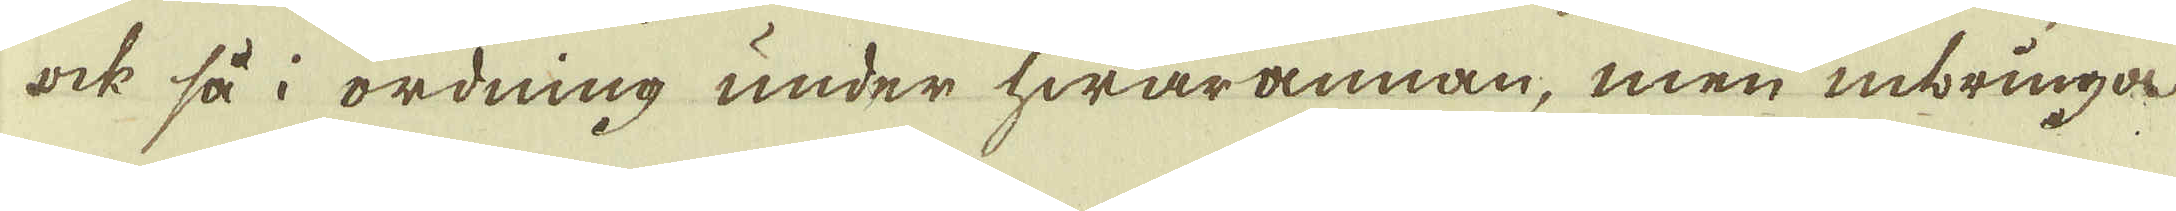ock så i ordning under hwarannan, men inbringa
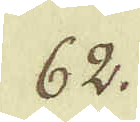62.
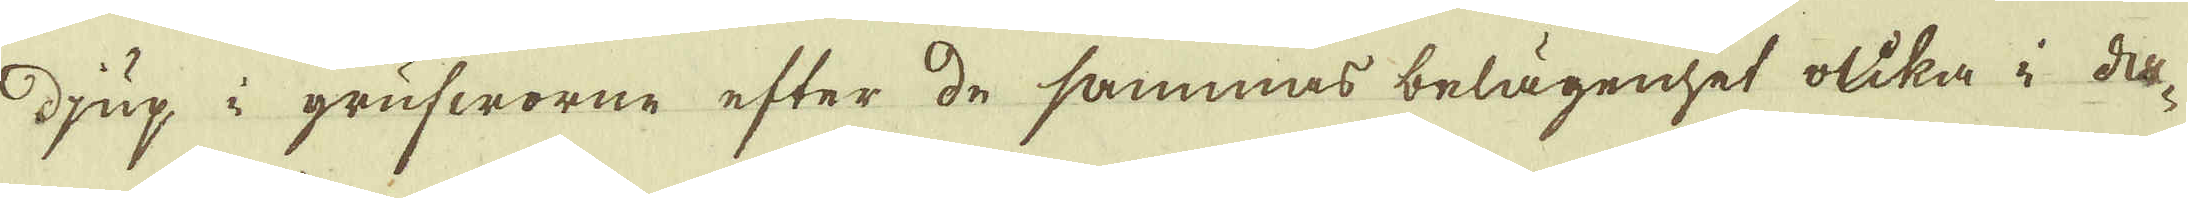djup i grufworne efter de sammas belägenhet olika i da-
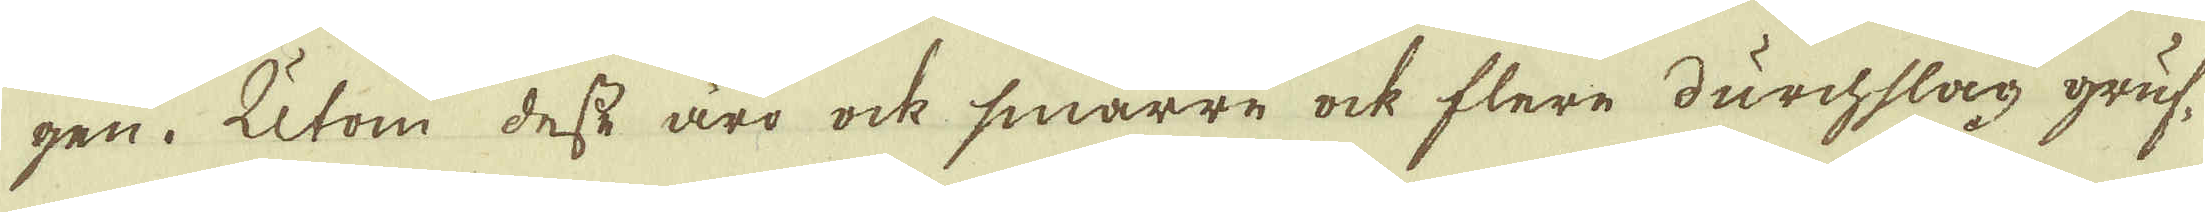gen. Utom desse äro ock smärre ock flere durchslag gruf-
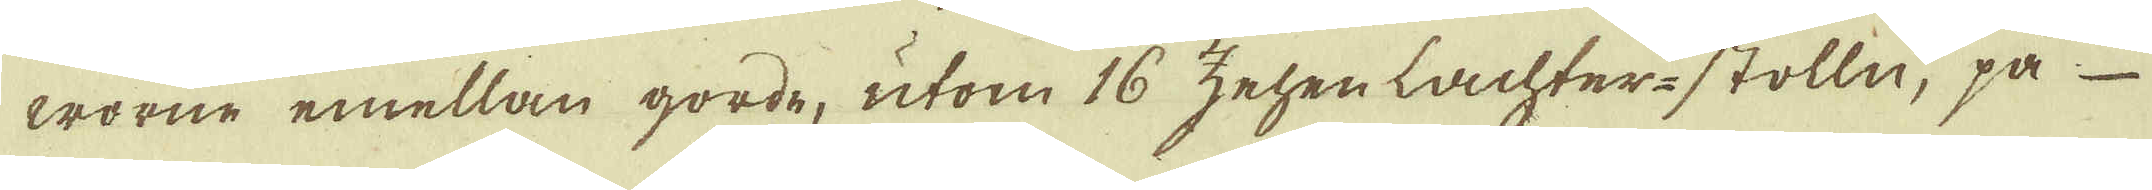worne emellan gorde, utom 16 zehenlachter-stolln, på
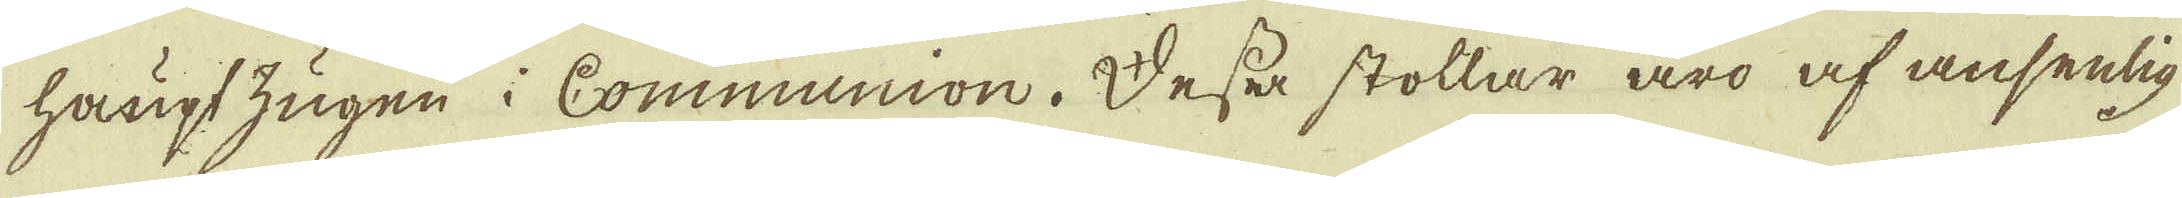hauptzugen i Communion. Dessa stollar äro af ansenlig
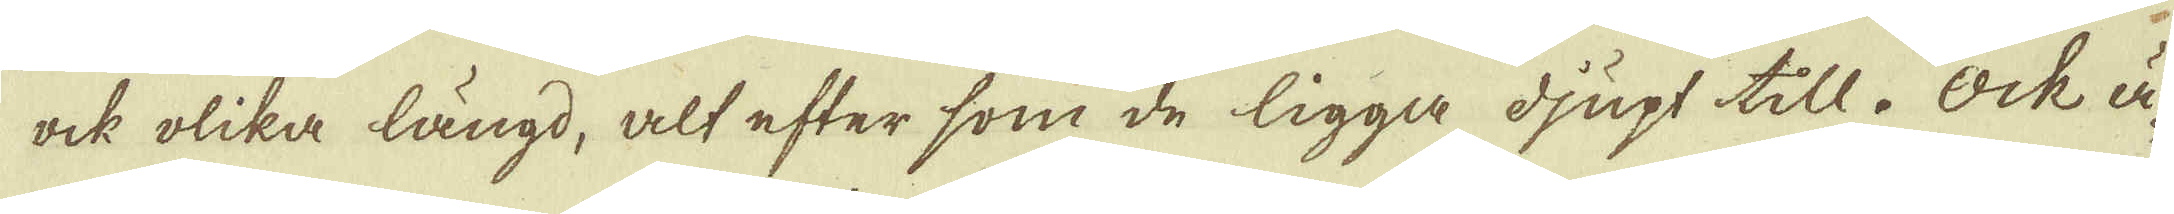ock olika längd, alt efter som de ligga djupt till. Ock ä-
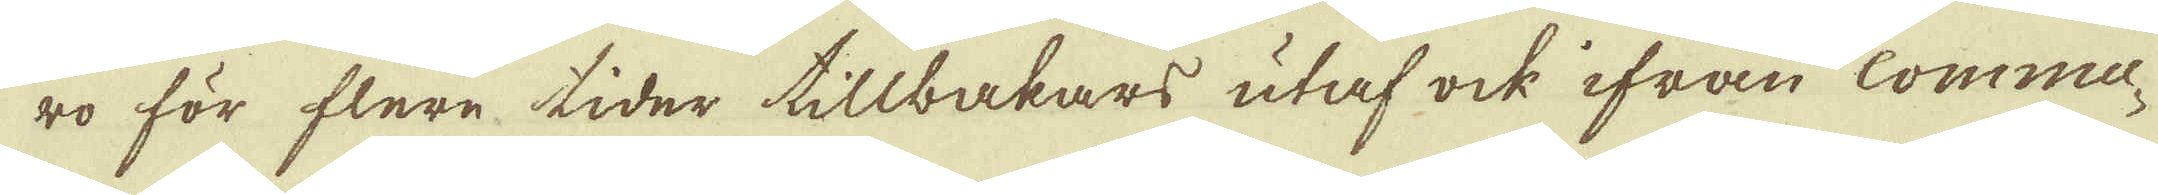ro för flere tider tillbakars utaf ock ifrån Commu-
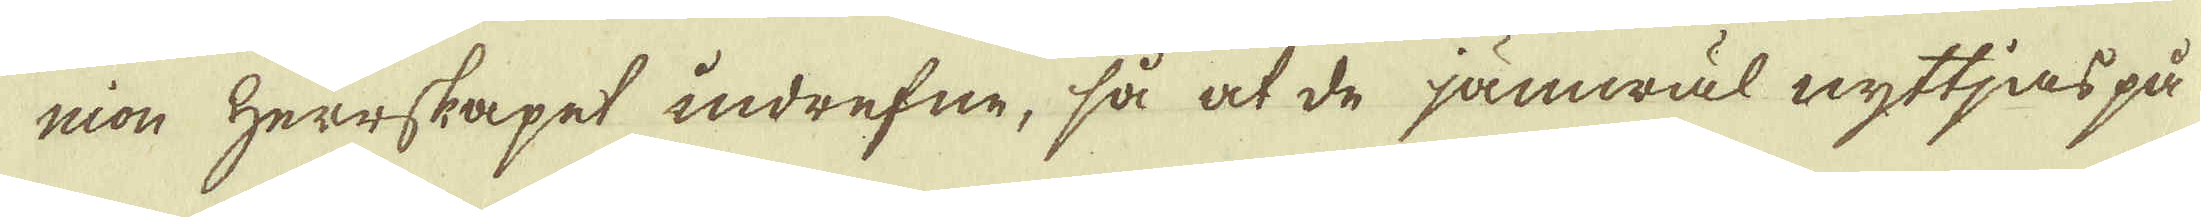nion Herrskapet indrefne, så at de jämwäl nyttjas på
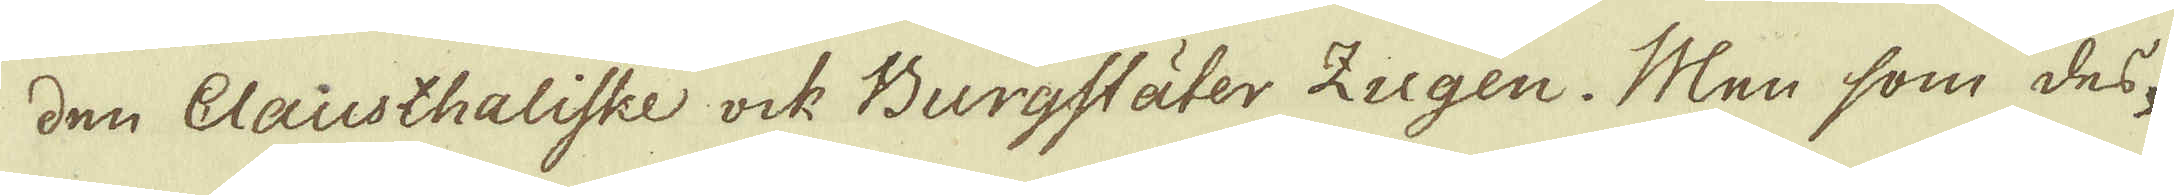den Clausthaliske ock Burgstäter igen. Men som des-
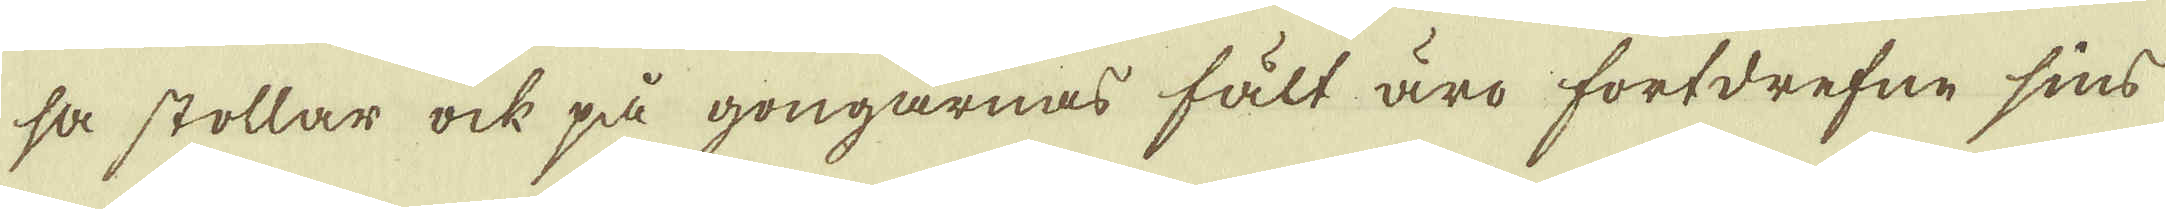sa stollar ock på gongarnas fält äro fortdrefne sins
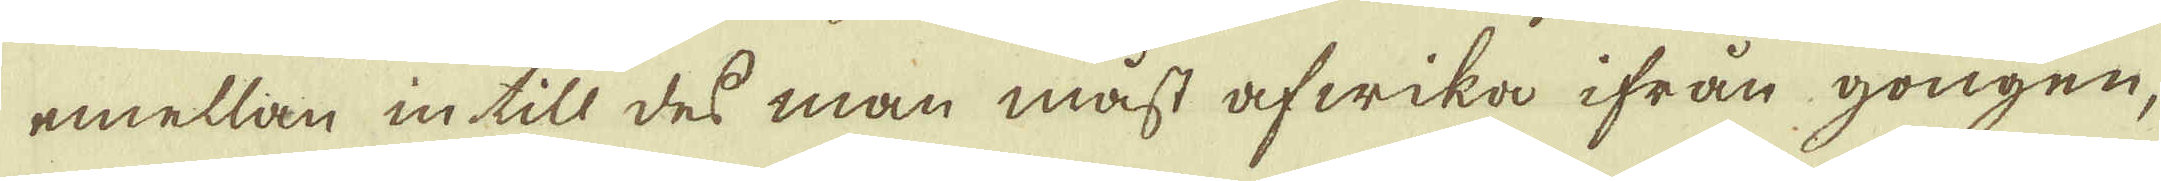emellan in till des man måst afwika ifrån gongen,
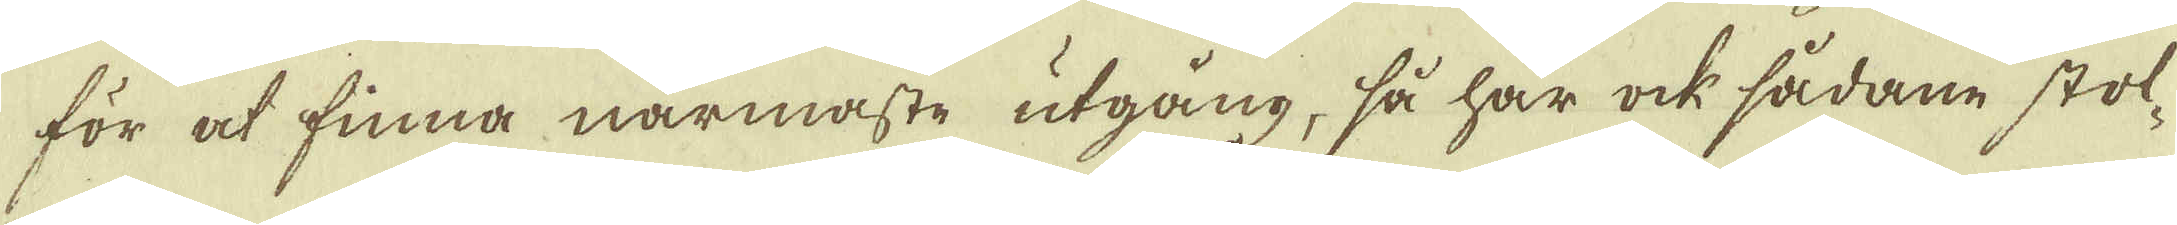för at finna närmaste utgång, så har ock sådane stol-
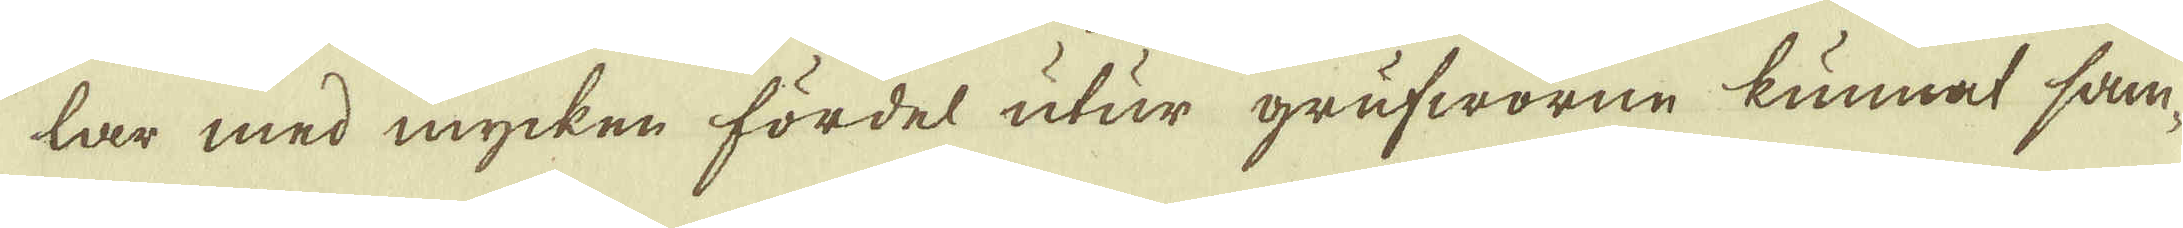lar med mycken fördel utur grufworne kunnat sam-
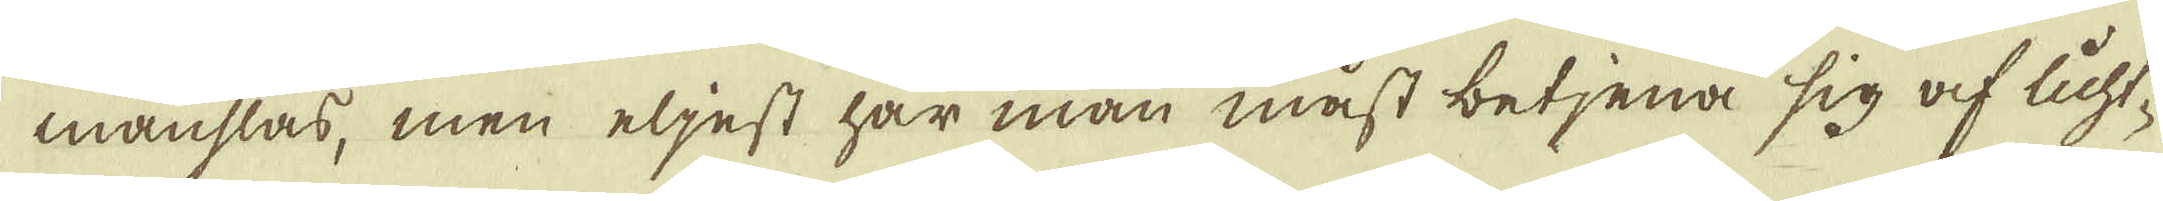manslås, men eljest har man måst betjena sig af licht-
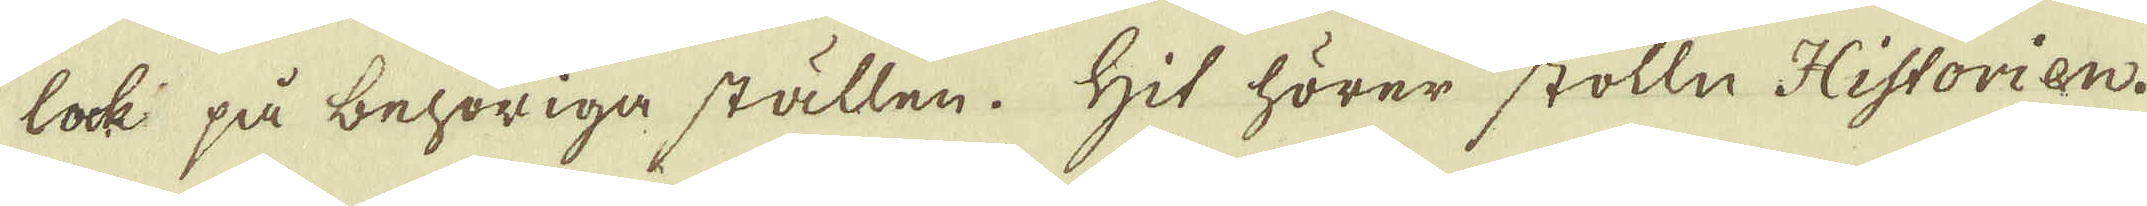lock på behöriga ställen. Hit hörer stolln Historien.
